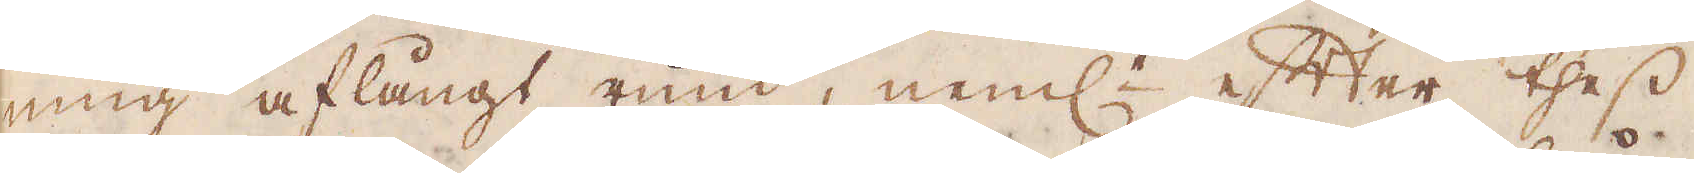ning aflångt rund, neml:n efter thess
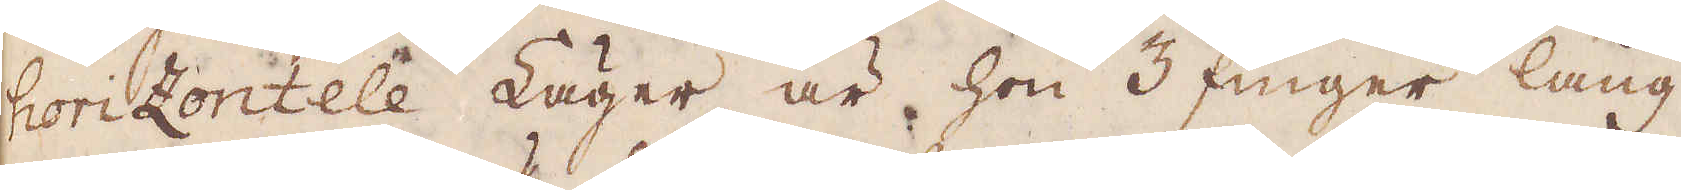horizontele Läger är hon 3 finger lång
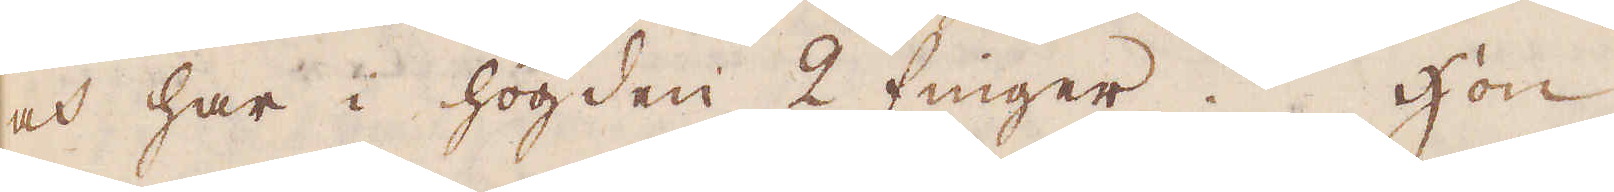och har i högden 2 finger. Hon
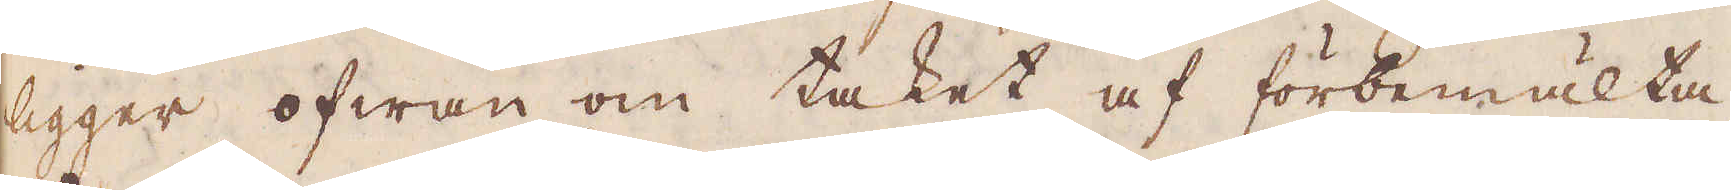ligger ofwan om taket af förbemälta
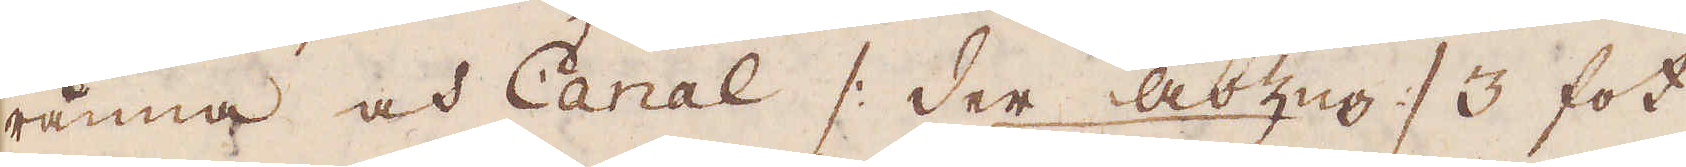ränna och Canal /: der Abzug :/ 3 fot
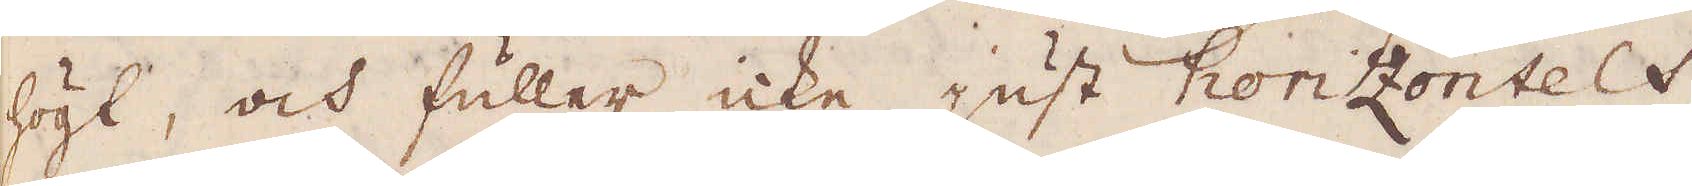högt, och fuller icke just horizontelt,
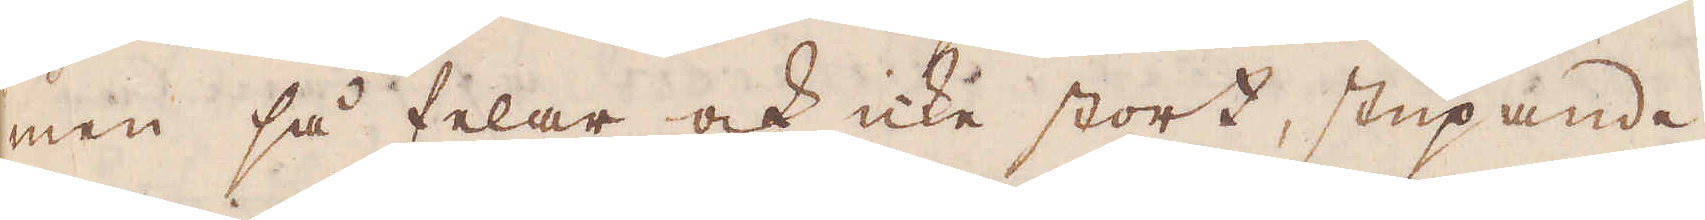men så felar ock icke stort, stupande
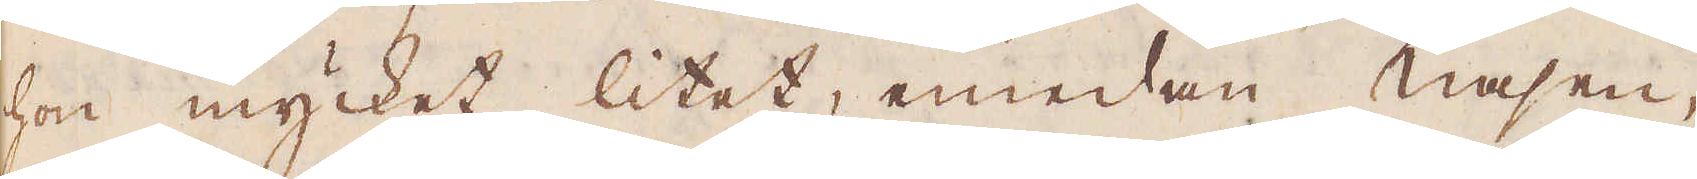hon mycket litet, emedan Nasen,
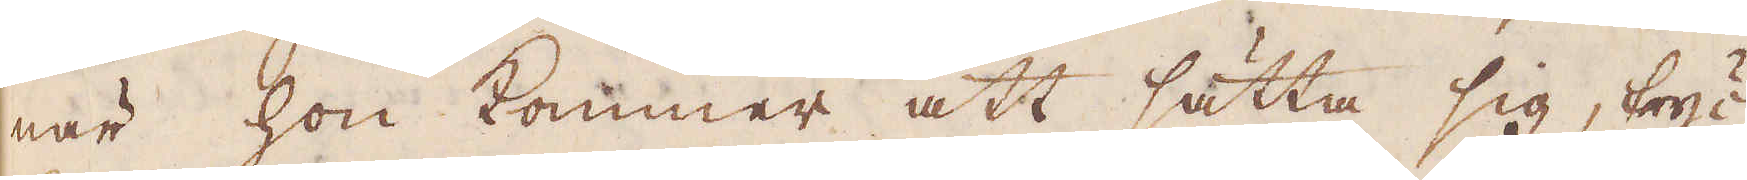när hon kommer att sätta sig, tryc-
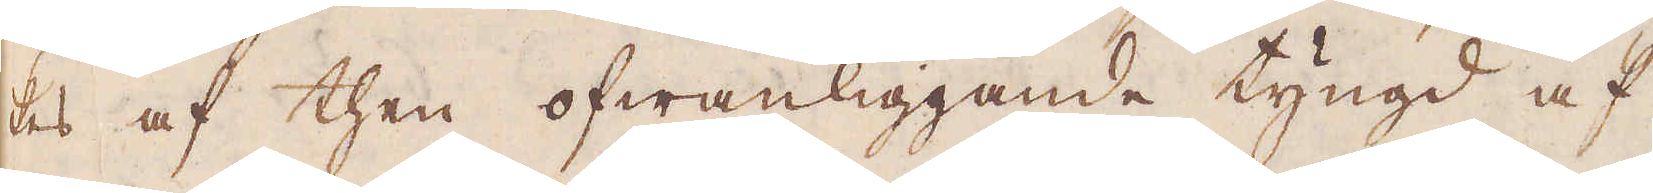kes af then ofwanliggande tyngd af
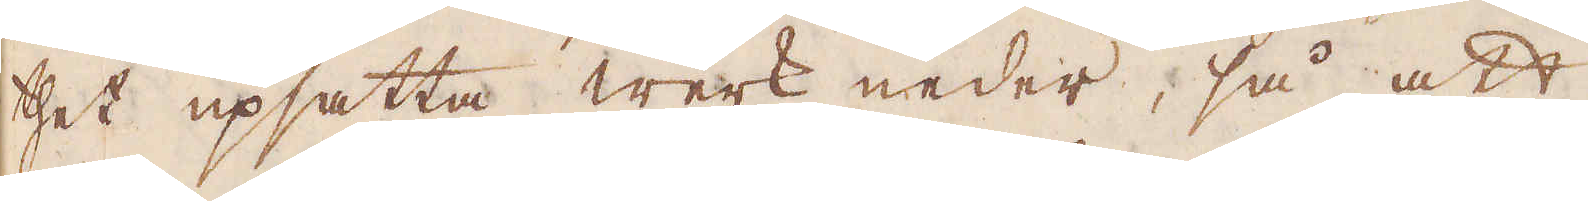thet upsatta werk neder, så att
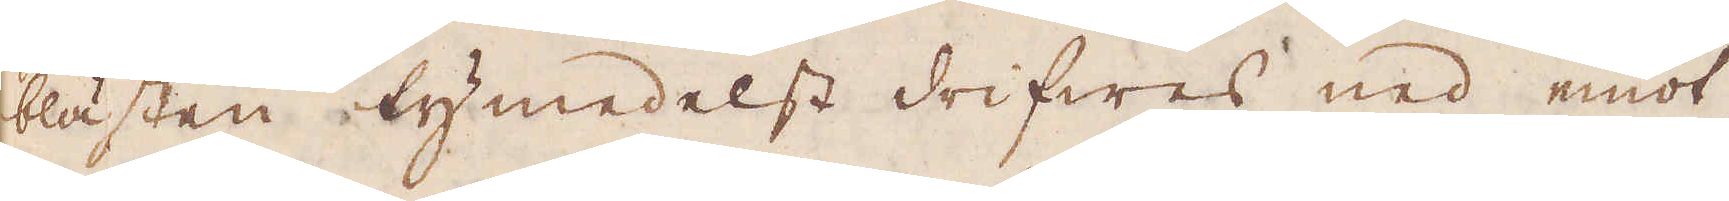blästen tymedelst drifwes ned emot
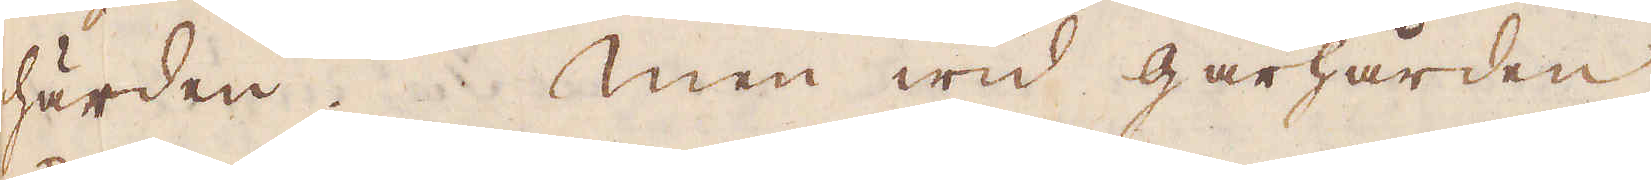härden. Men wid gårhärden
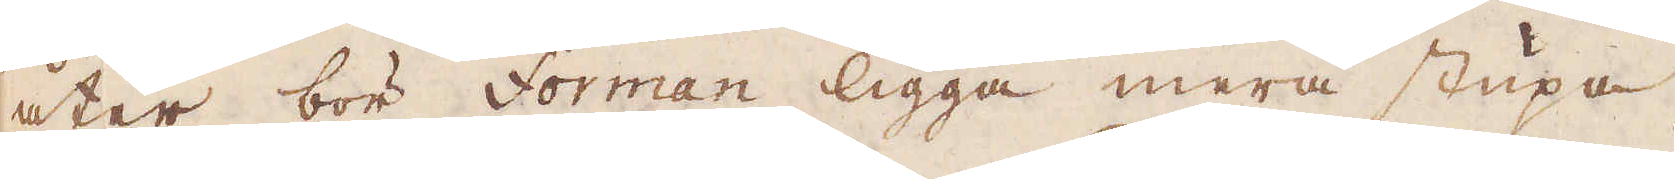åter bör Forman ligga mera stupa,
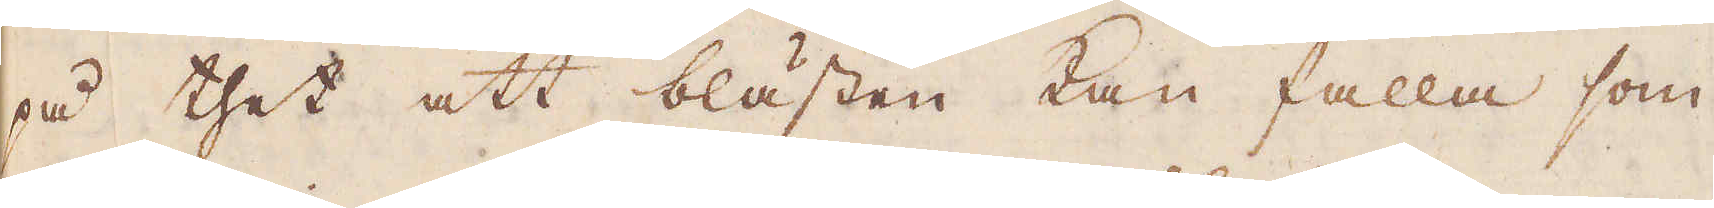på thet att blästen kan falla som
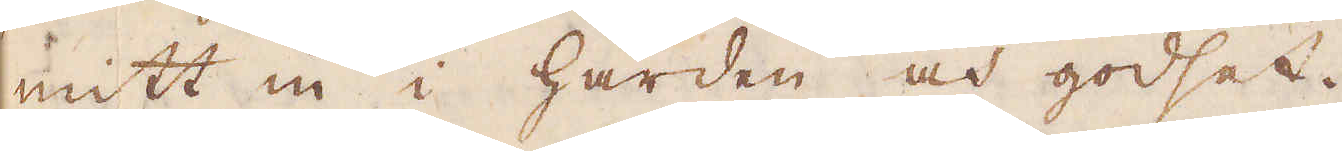mitt in i härden och godset.
